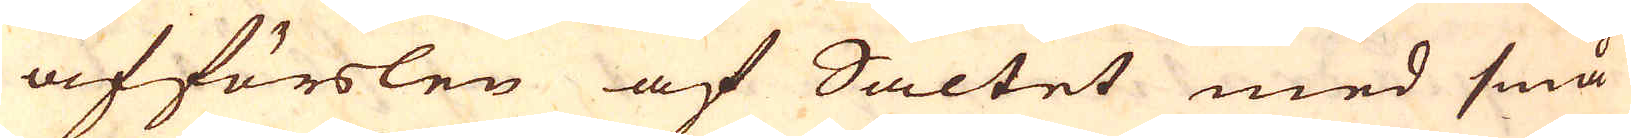afförslen af Saltet med små
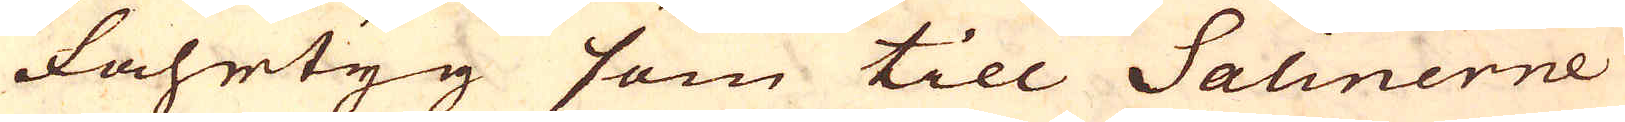fahrtyg som till Salinerne
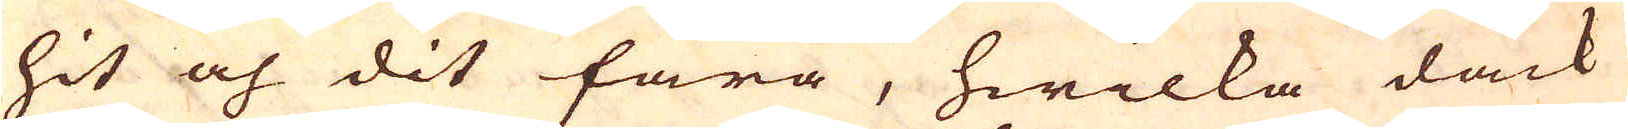hit och dit fara, hwilka dåck
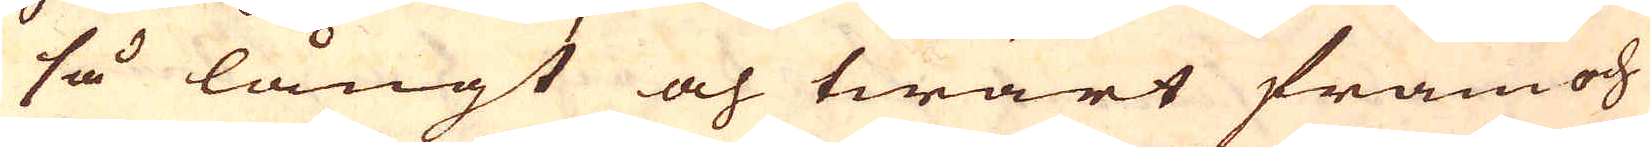så långt och twärt fram och
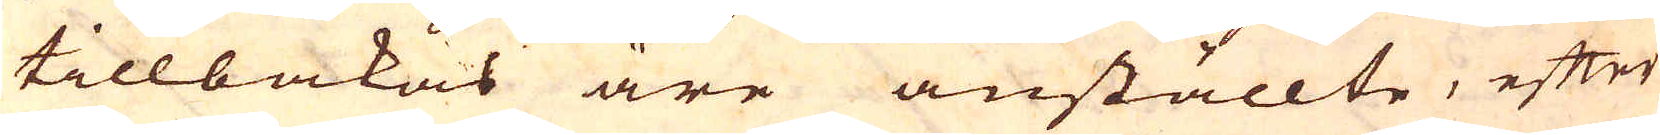tillbakas äre anställte, efter
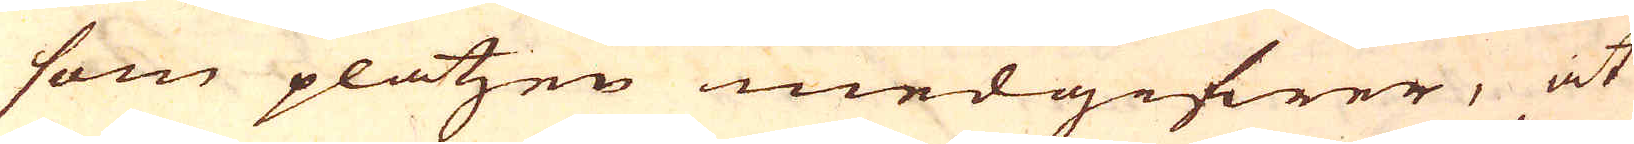som platzen medgifwer, at
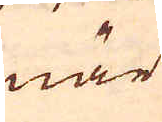när
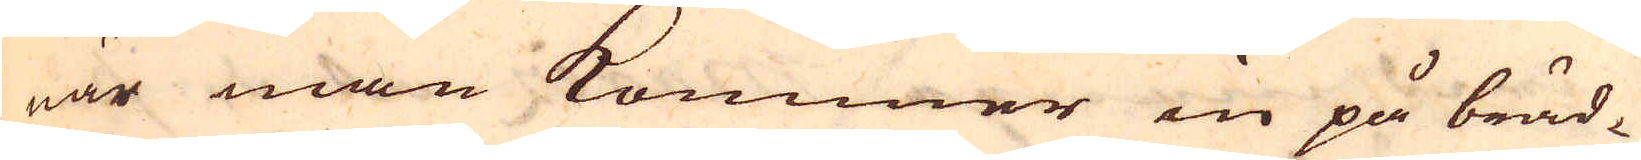när man kommer in på bräd-
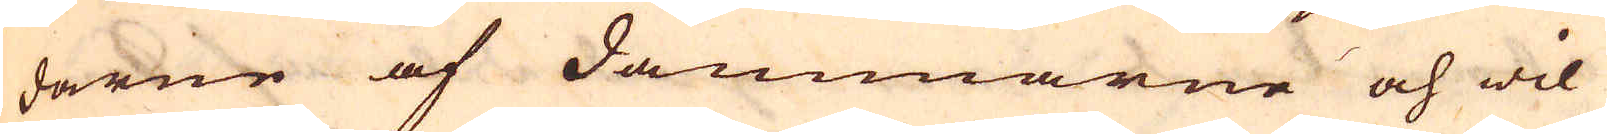darne af dammarne och wil
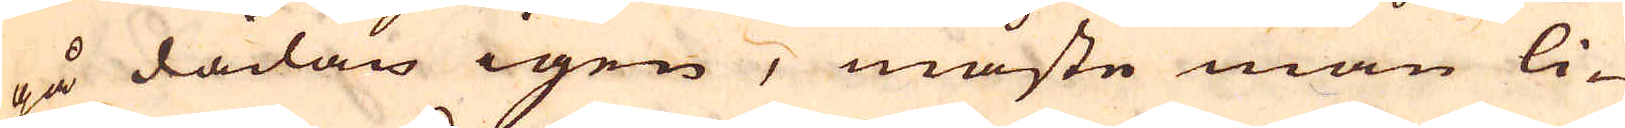på dådan igen, måste man li-
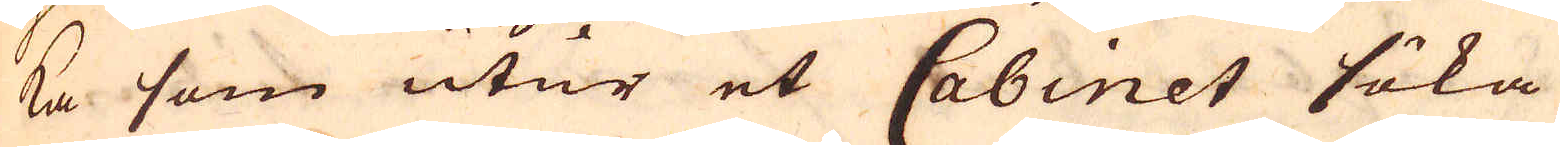ka som utur et Cabinet söka
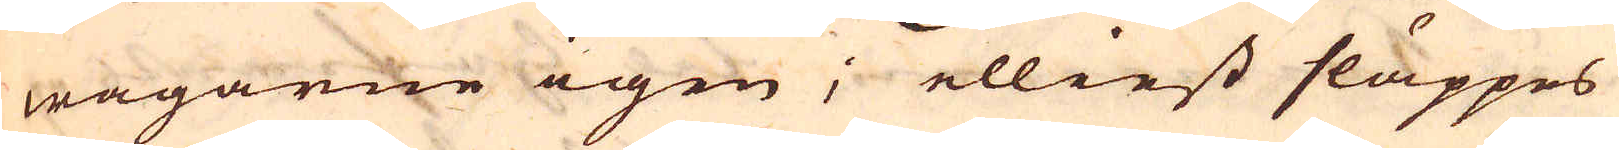wägarne igen; elliest släppes
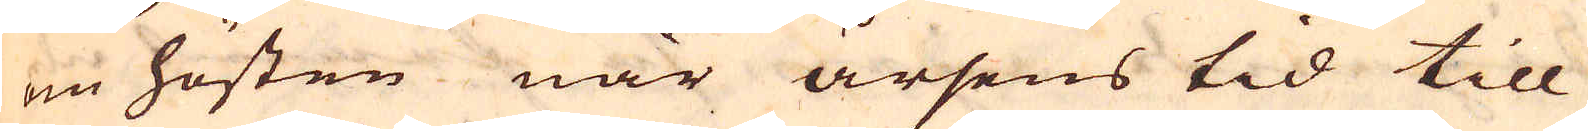om hösten när årsens tid till
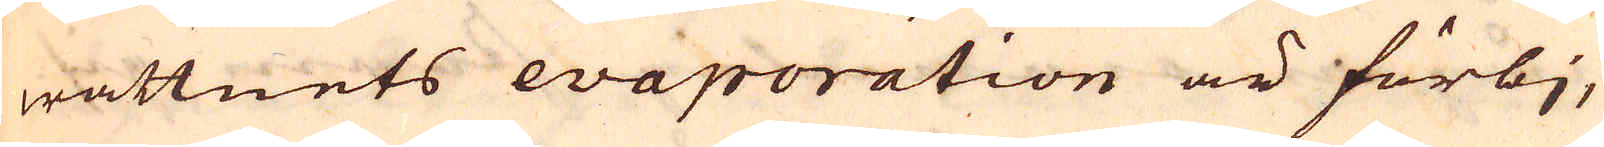wattnets evaporation är förbj,
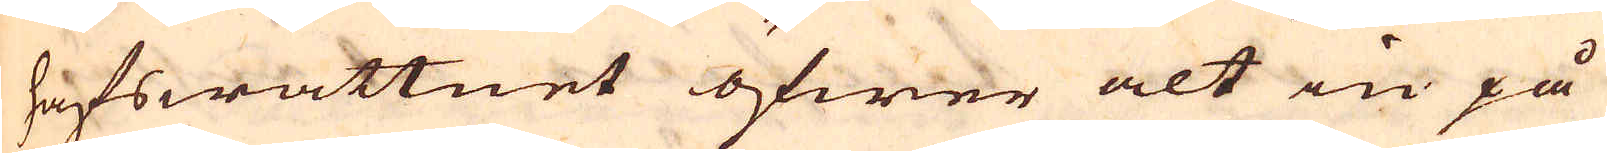hafswattnet öfwer alt in på
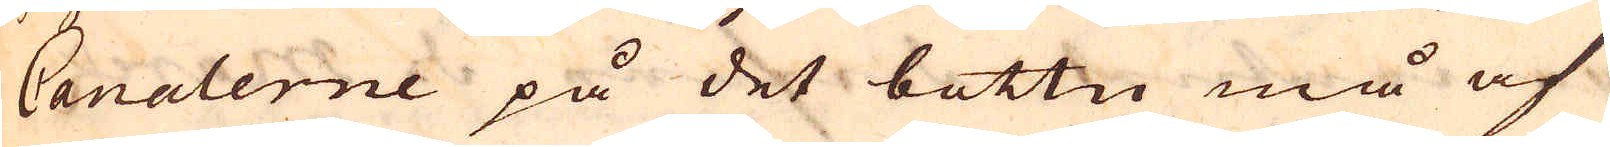Canalerne på det bottn må af
